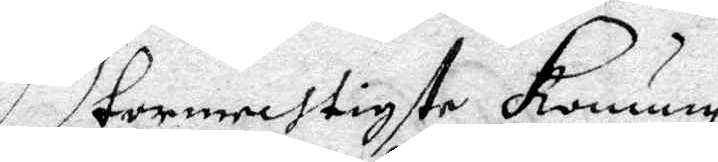Stormechtigste Konung
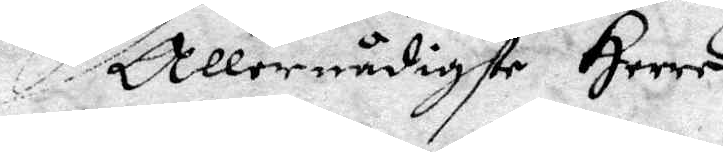Allernådigste Herre
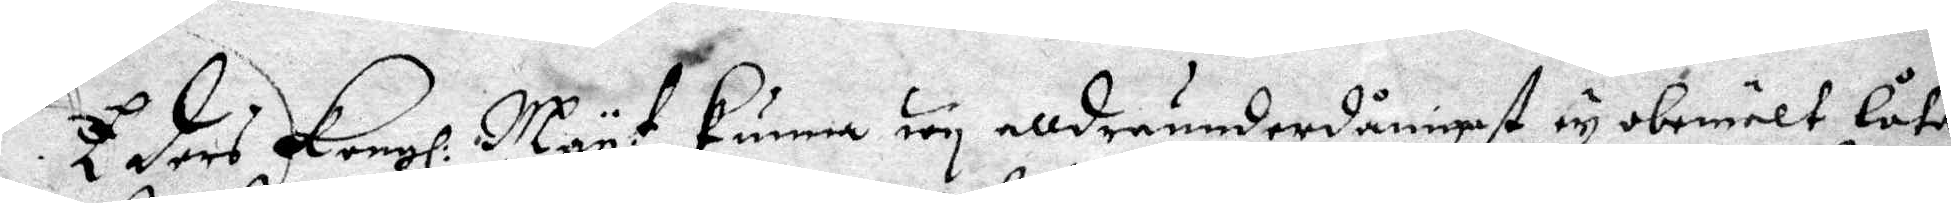Eders Kongl: May:t kunna nog alldraunderdånigst ey obemält låta
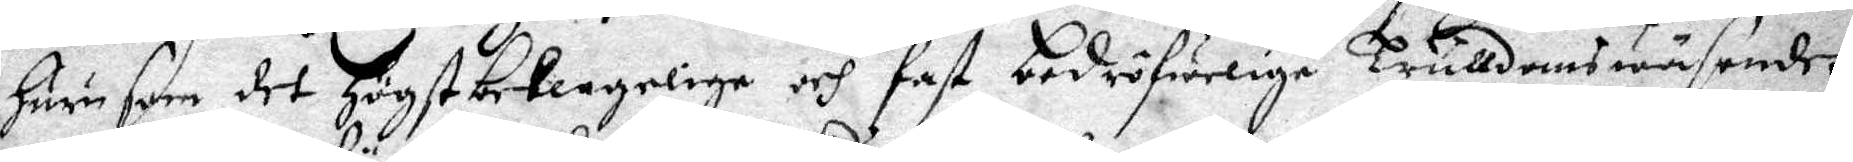huru som det högst beklageliga och fast bedröfweliga Trulldomswäsendet
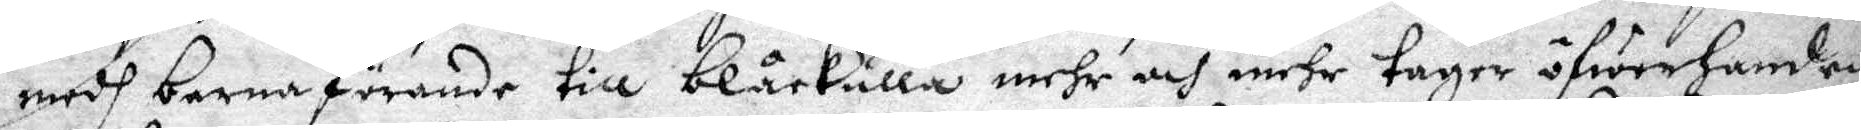medh barnaförande till Blåkulla mehr och mehr tager öfwerhanden
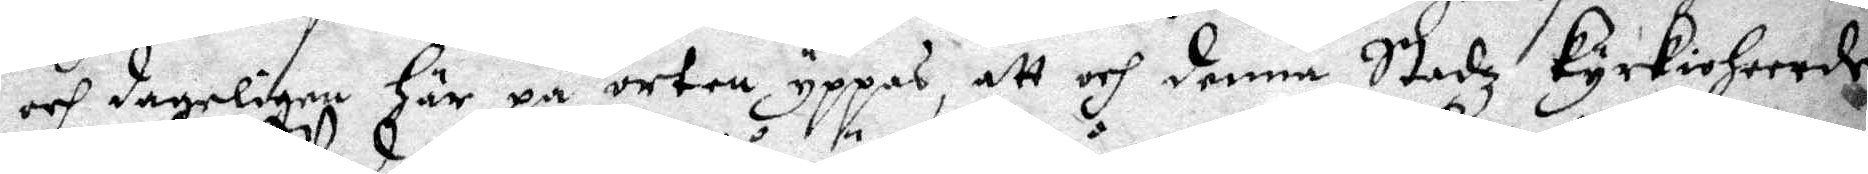och dageligen här på orten yppas, att och denna Stadz kyrkioherde
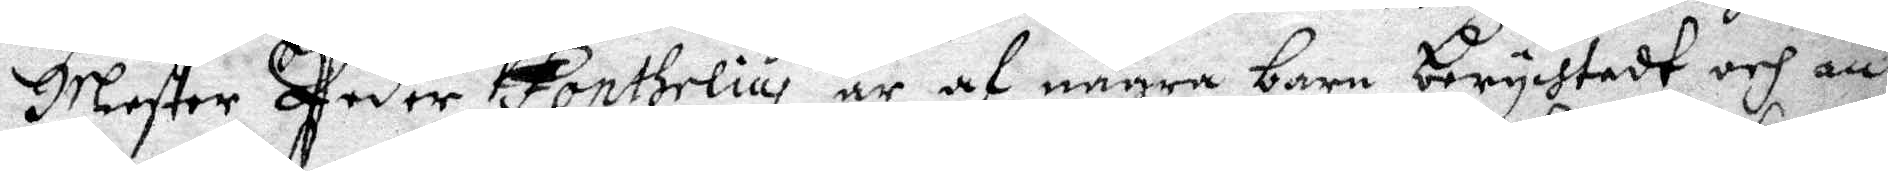Mester Peder Fontelius är af några barn berychtadt och an¬
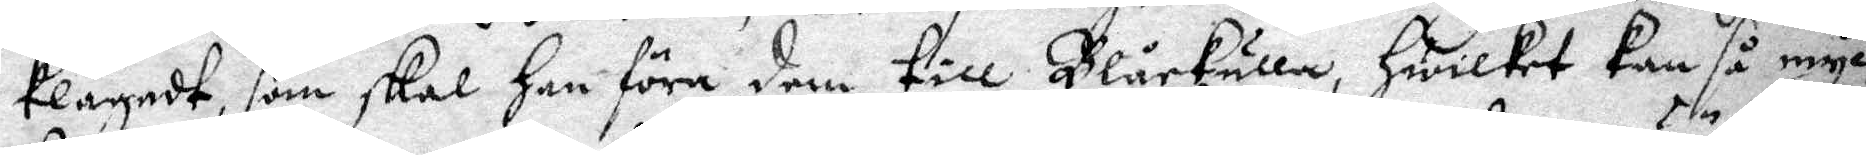klagadt, som skal han föra dem till Blåkulla, hwilket kan så myc¬
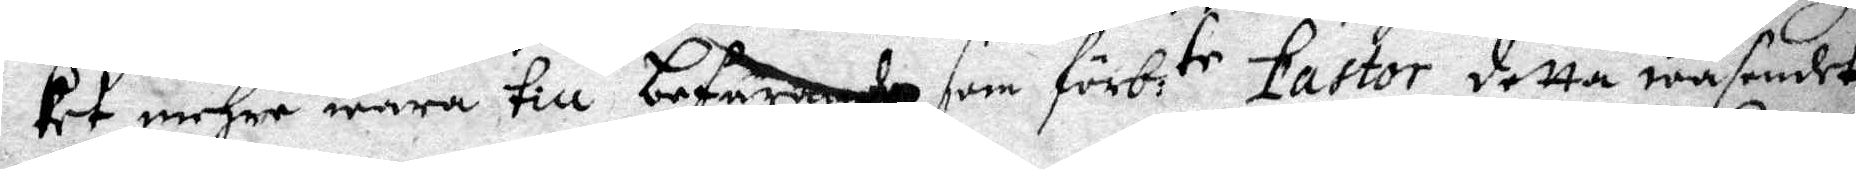ket mehra wara till befarande som förb:te pastor detta wäsendet
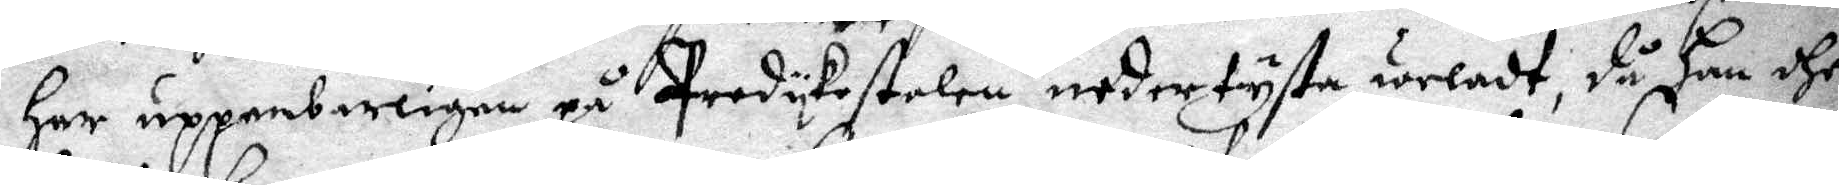har uppenbarligen på Predykostolen nedertysta weladt, då han dhe
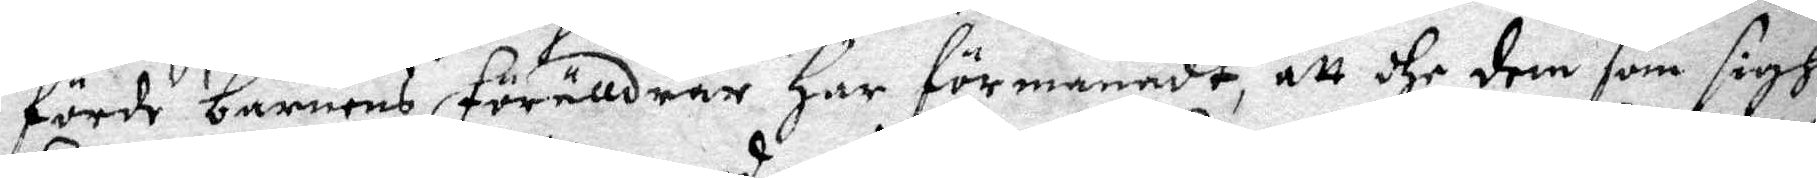förde barnens förälldrar han förmanadt, att dhe dem som sigh
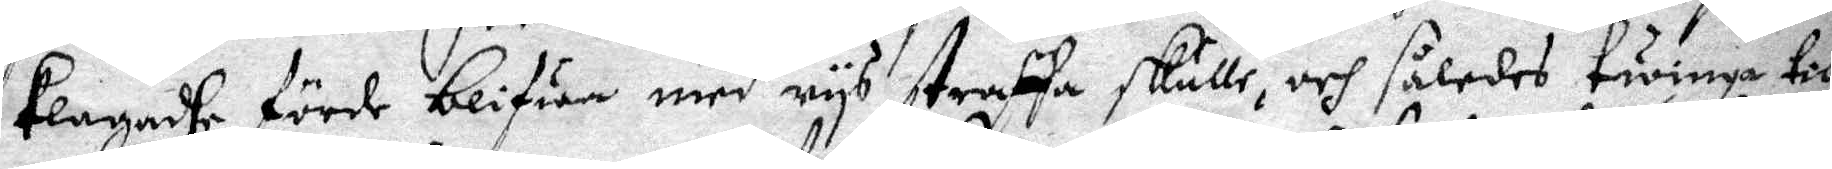klagadhe förde blifwa med rys straffa skulle, och således twinga till
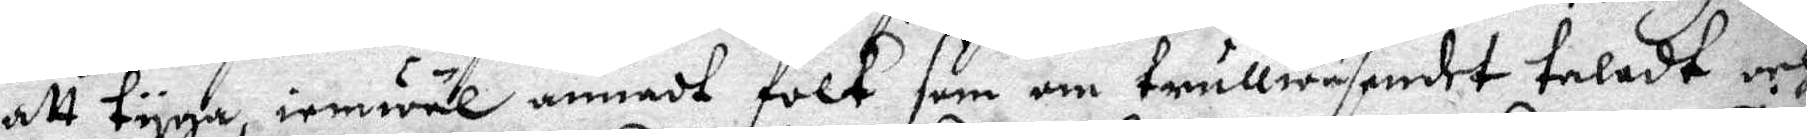att tyga, iemwäl annadt folk som om trullwäsendet taladt och
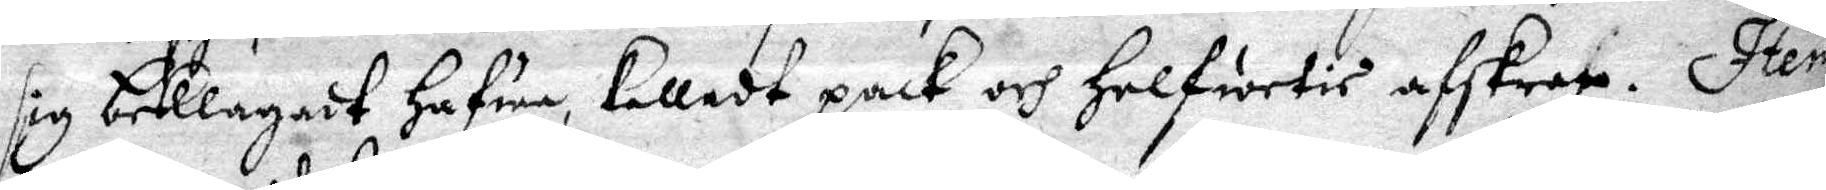sig beklagadt hafwa, kalladt pack och helfwetis afskrap. Item
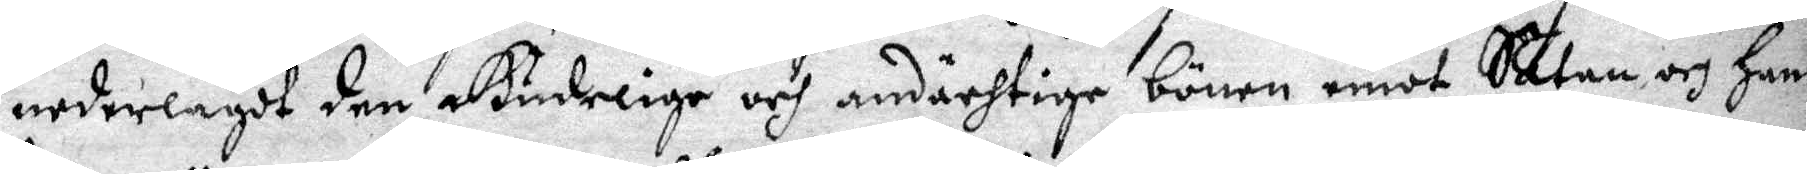nederlagdt den Gudelige och andächtige bönen emot Satan och hans
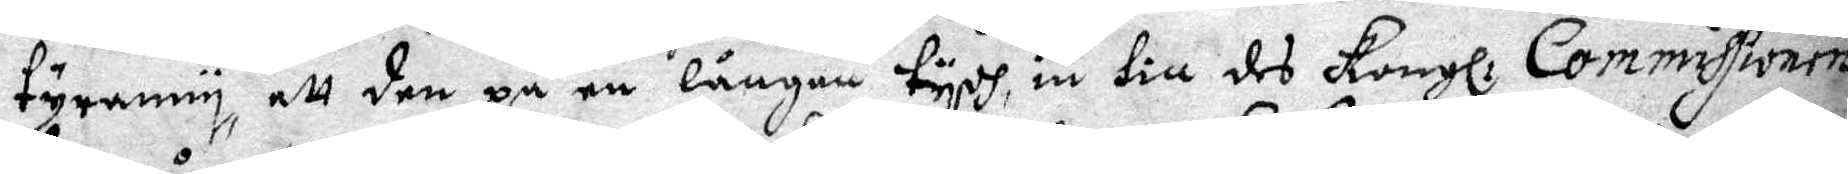tyranny, att den på en långan tydh, in till des Kongl: Commissionen
